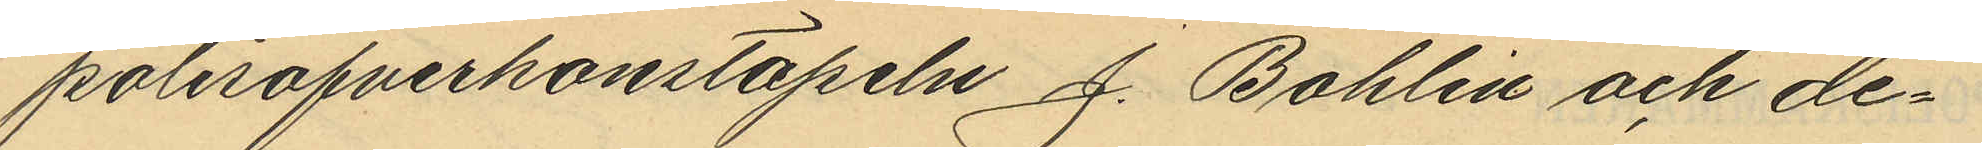polisöfverkonstapeln J. Bohlin och de¬
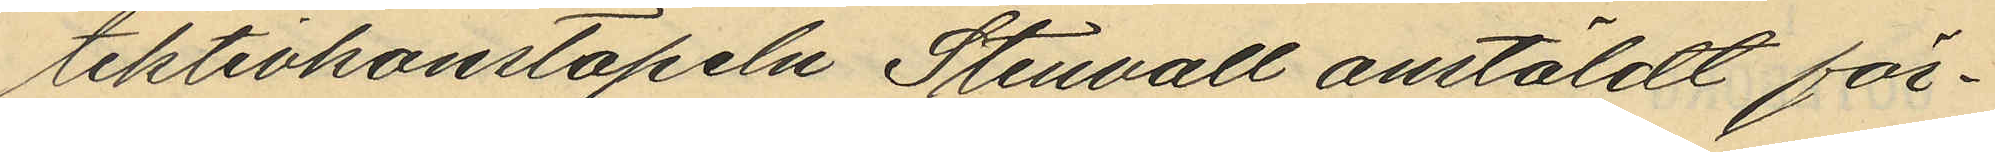tektivkonstapeln Stenvall anstäldt för¬
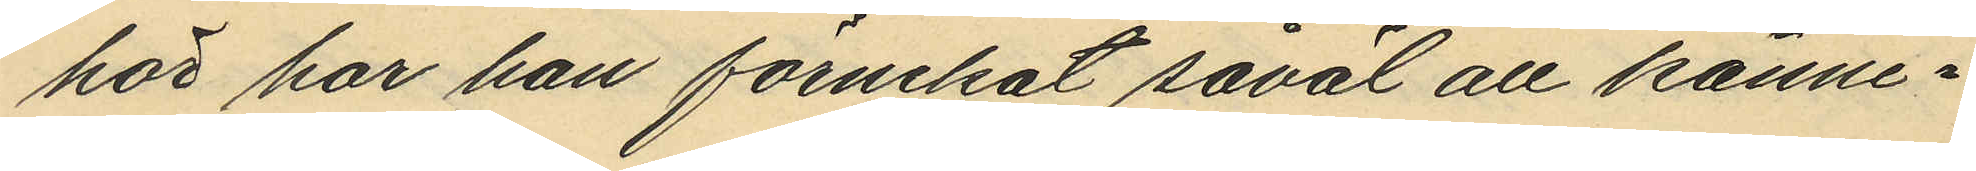hör har han förnekat såväl all känne¬
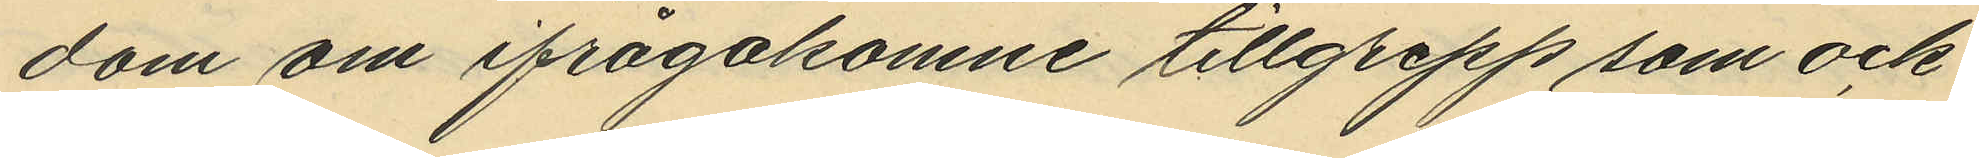dom om ifrågakomne tillgrepp som ock
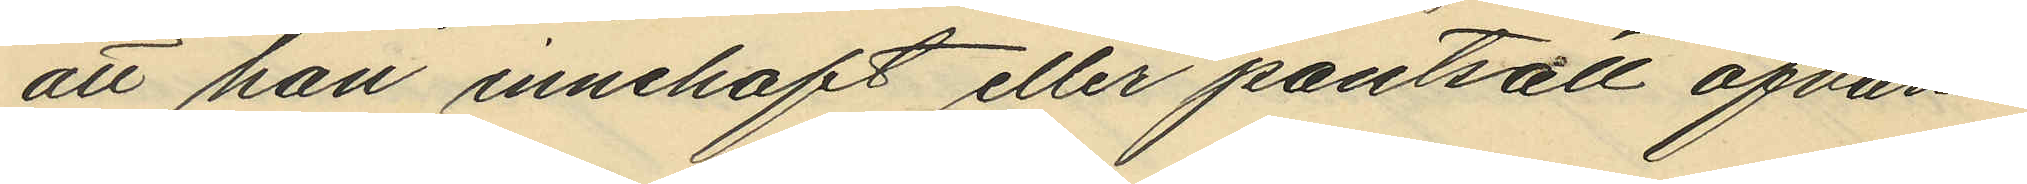att han innehaft eller pantsatt ofvan¬
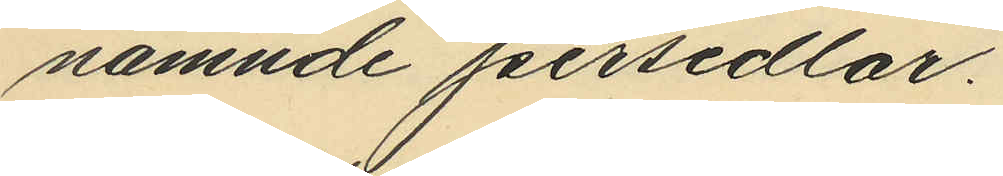nämnde persedlar.
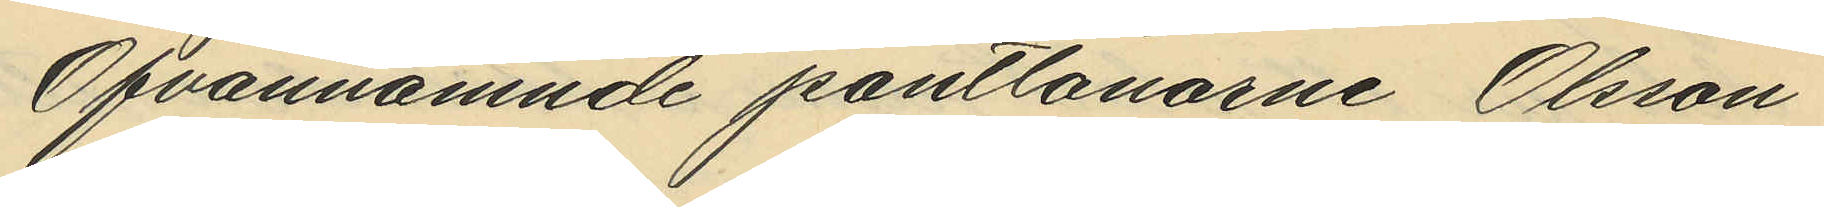Ofvannämnde pantlånarne Olssn
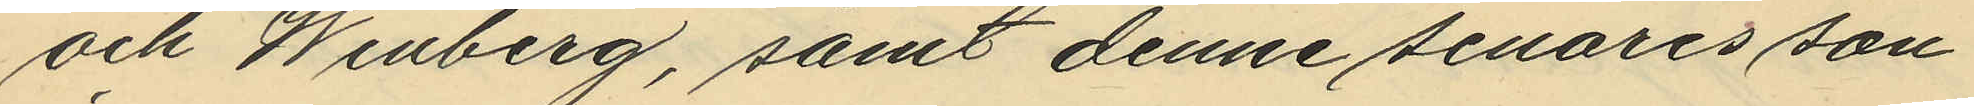och Winlberg, samt denne senares son
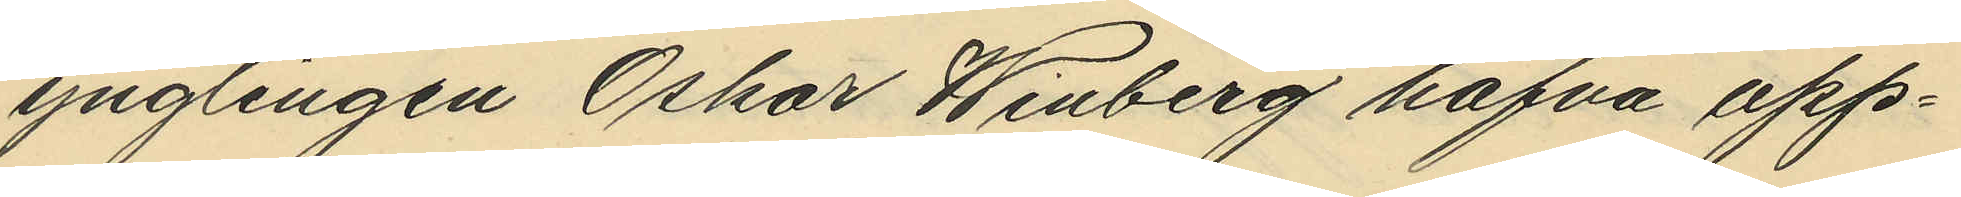ynglingen Oskar Winberg hafva upp¬
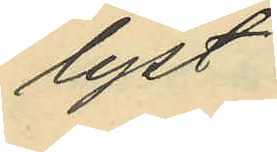lyst
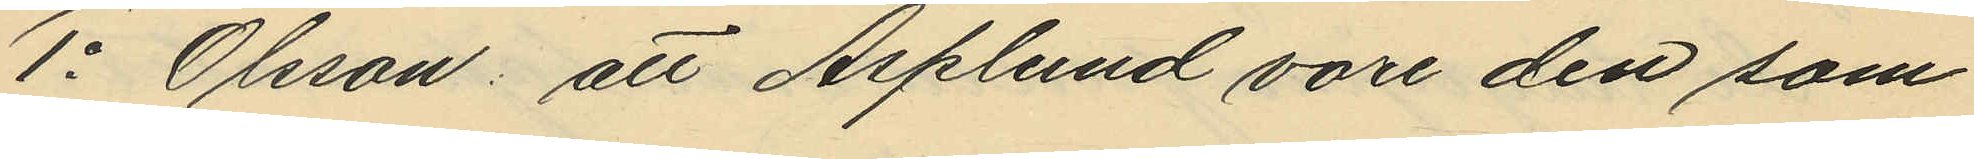1o Olsson: att Asplund vore den som
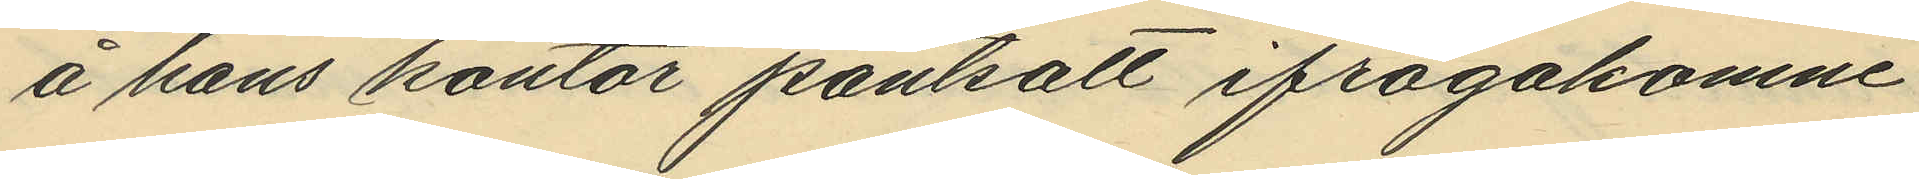å hans kontor pantsatt ifrågakomne
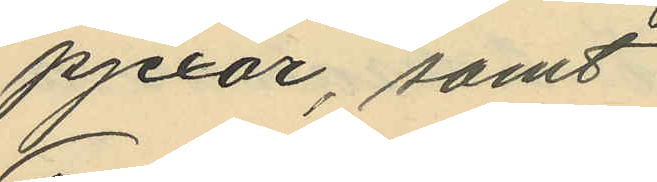pjexor, samt
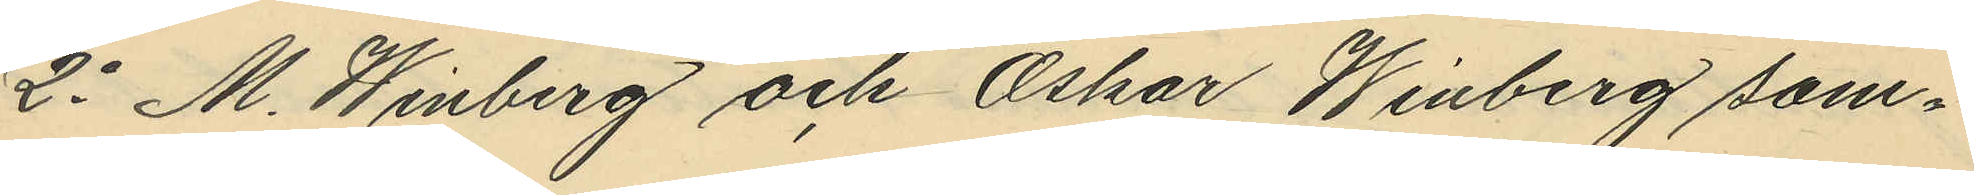2o M. Winberg och Oskar Winberg sam¬
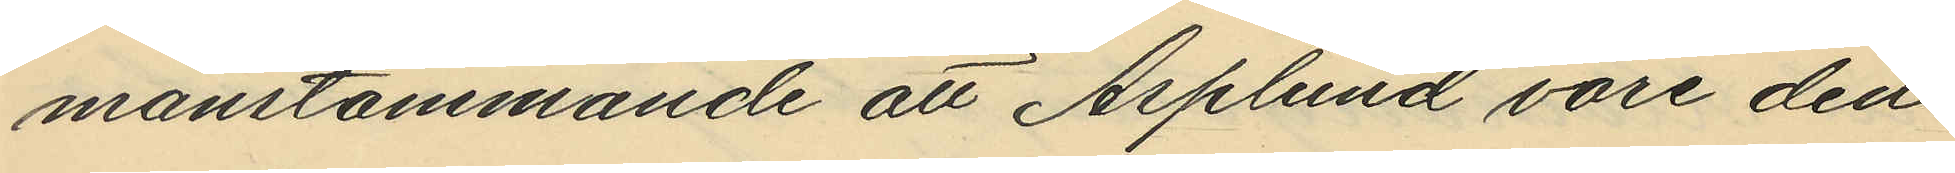manstämmande att Asplund vore den
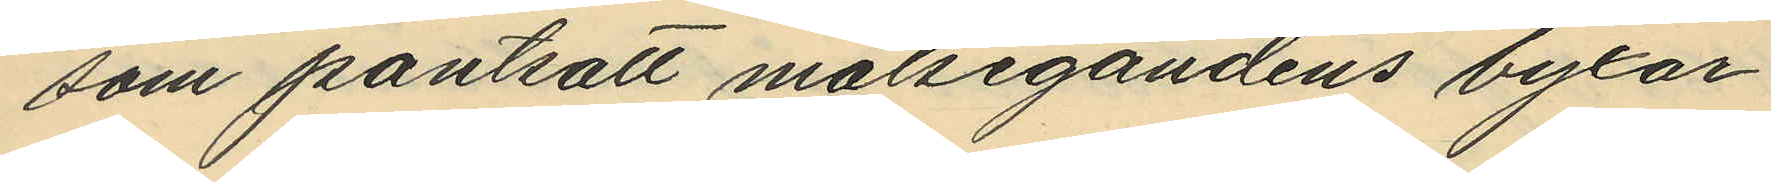som pantsatt målsegandens byxor.
